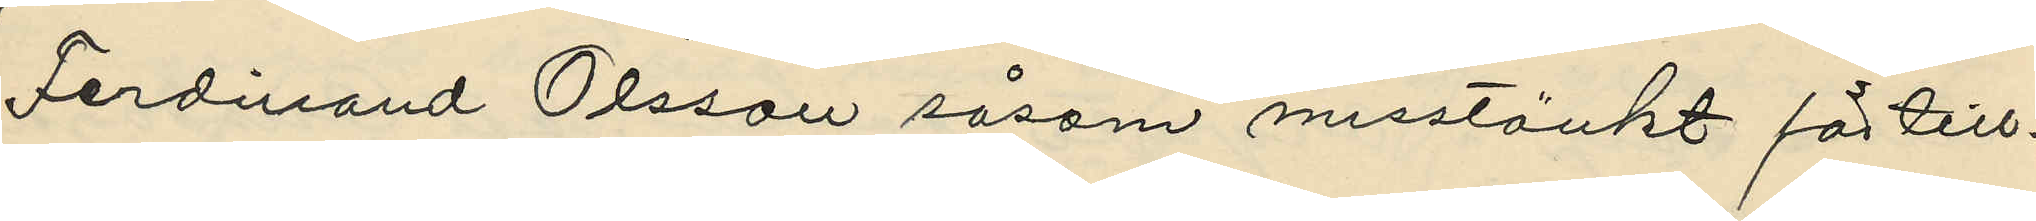Ferdinand Olsson såsom misstänkt för till¬
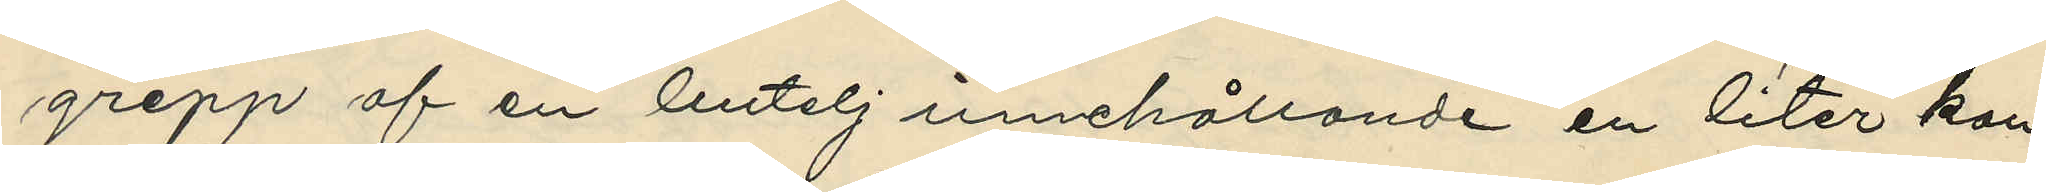grepp af en butelj innehållande en liter kon¬
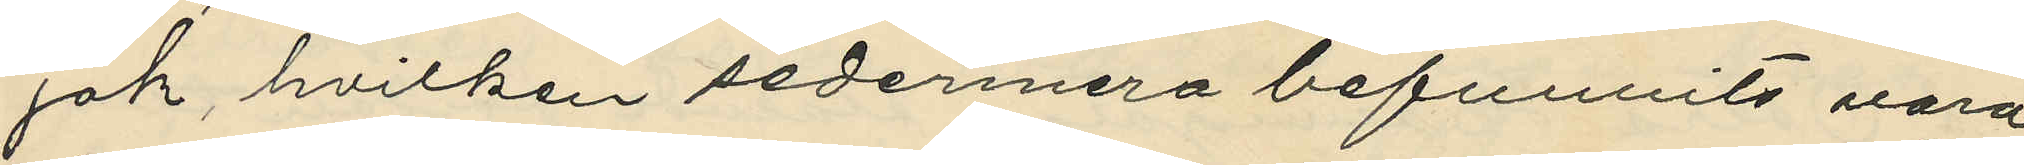jak, hvilken sedermera befunnits vara
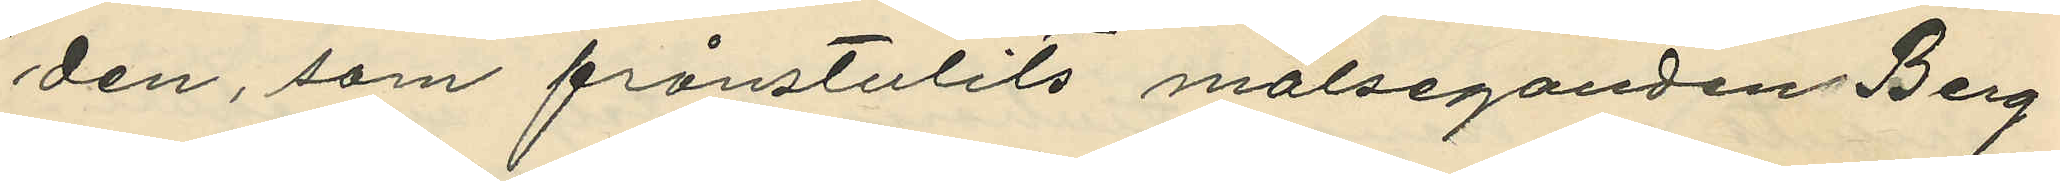den, som frånstulits målseganden Berg¬
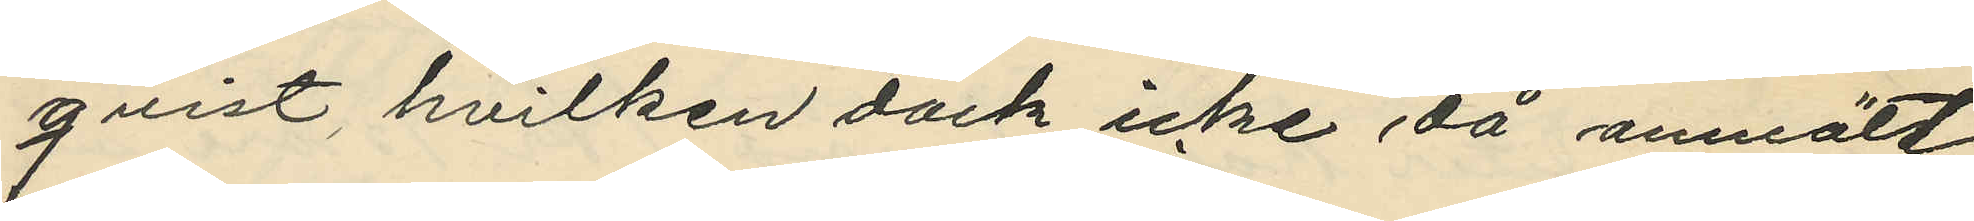qvist, hvilken dock icke då anmält
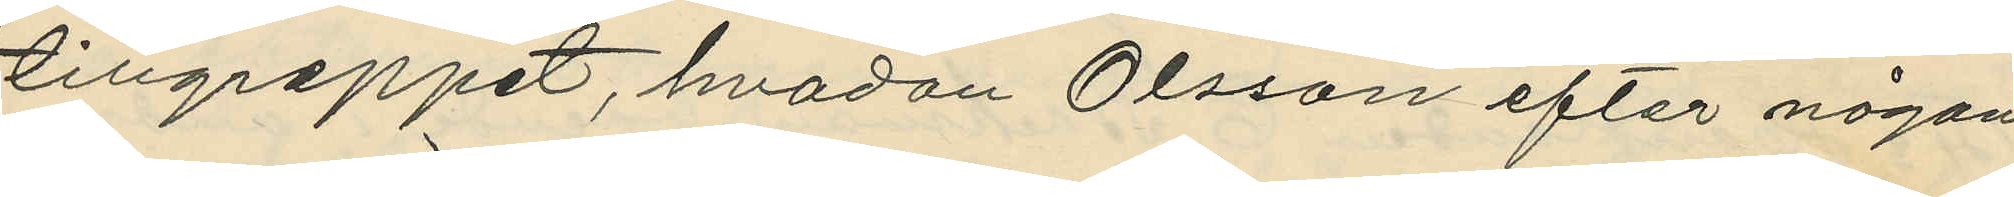tillgreppet, hvadan Olsson efter någon
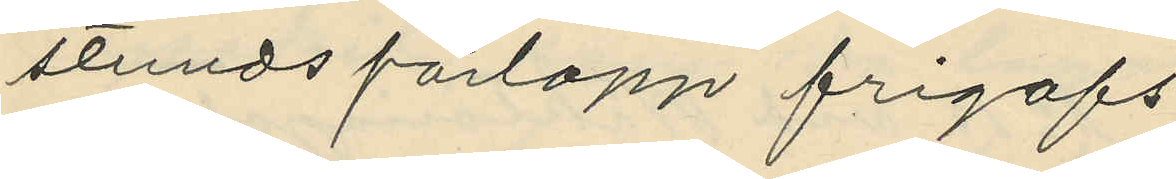stunds förlopp frigafs.
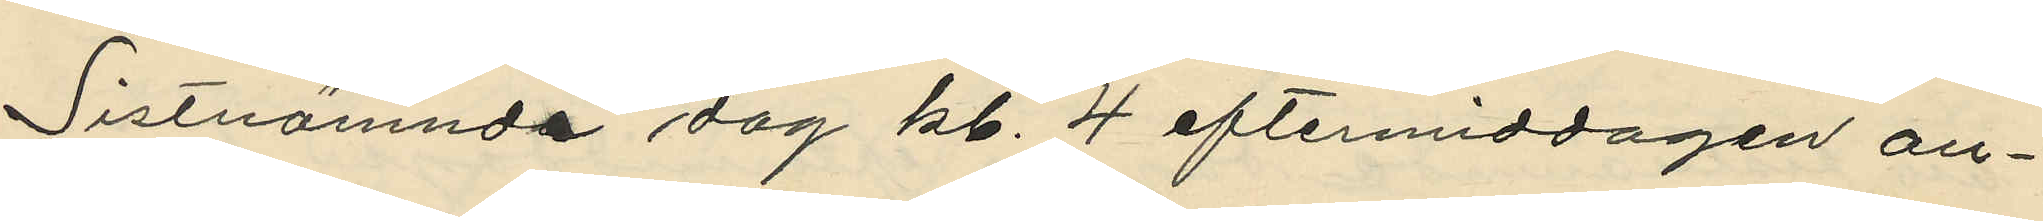Sistnämnda dag kl. 4 eftermiddagen an¬
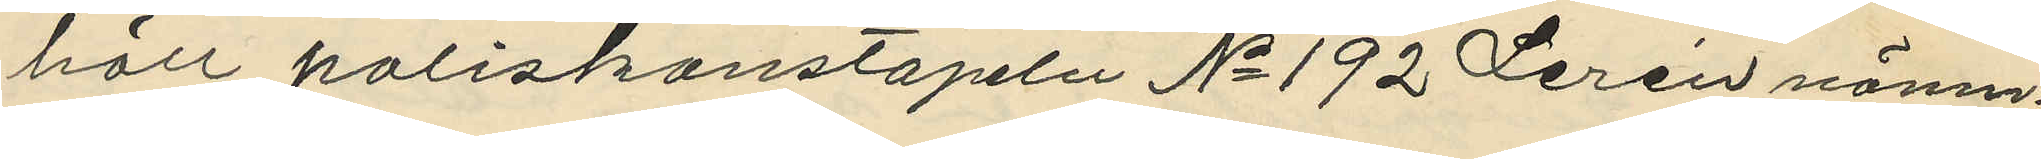höll poliskonstapeln No 192 Lerén nämn¬
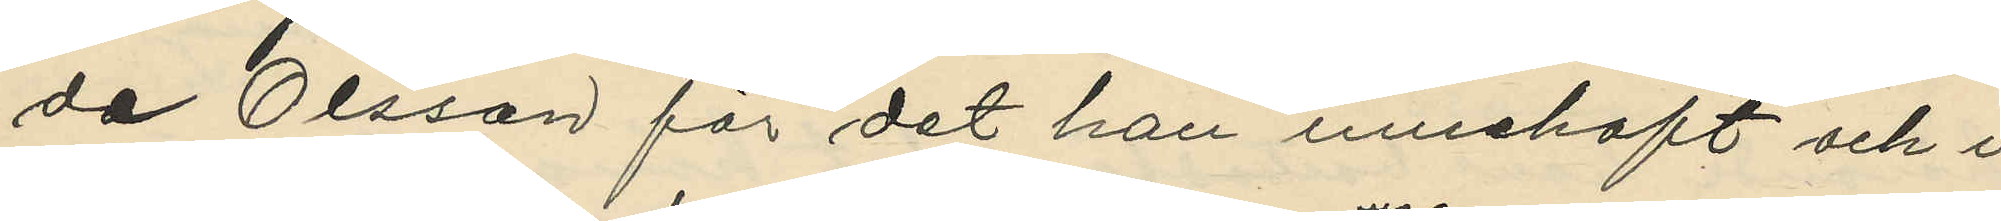de Olsson för det han innehaft och i
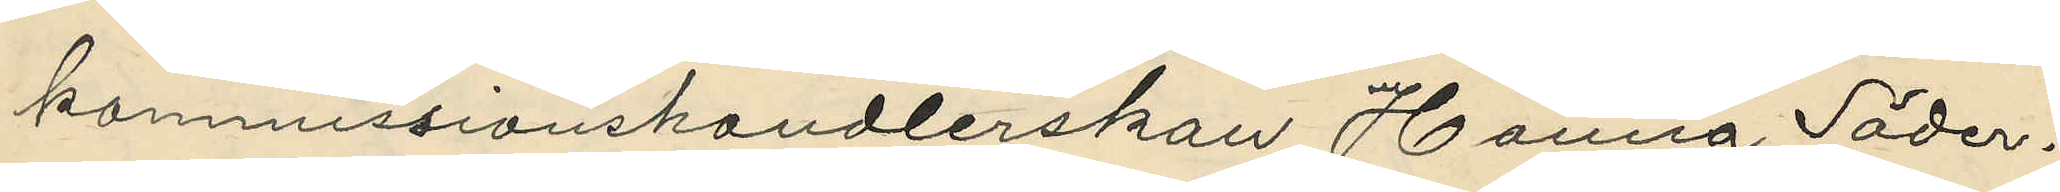kommissionshandlerskan Hanna Söder¬
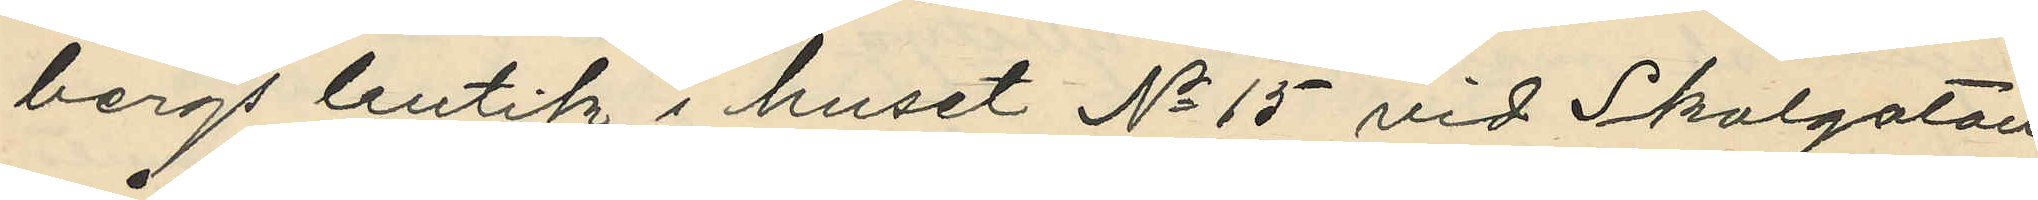bergs butik i huset No 15 vid Skolgatan
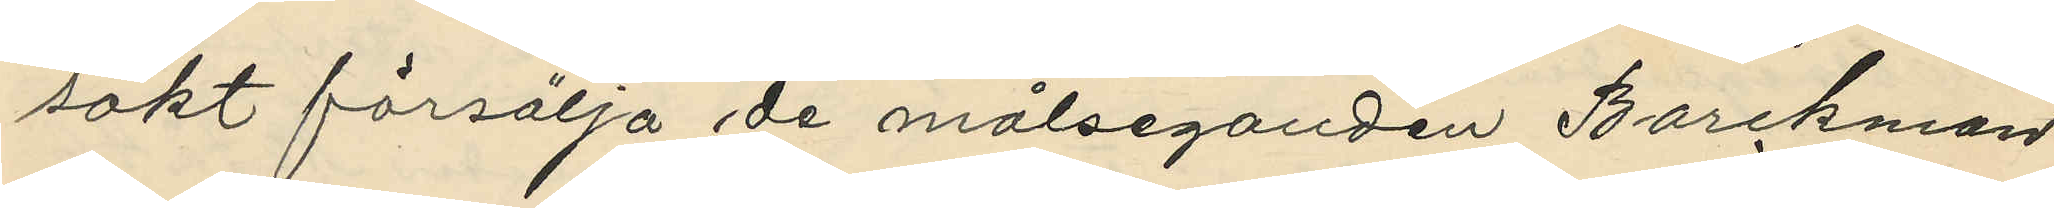sökt försälja de målseganden Borckman
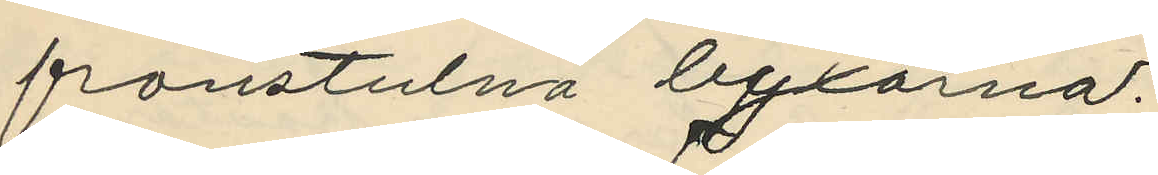frånstulna byxorna.
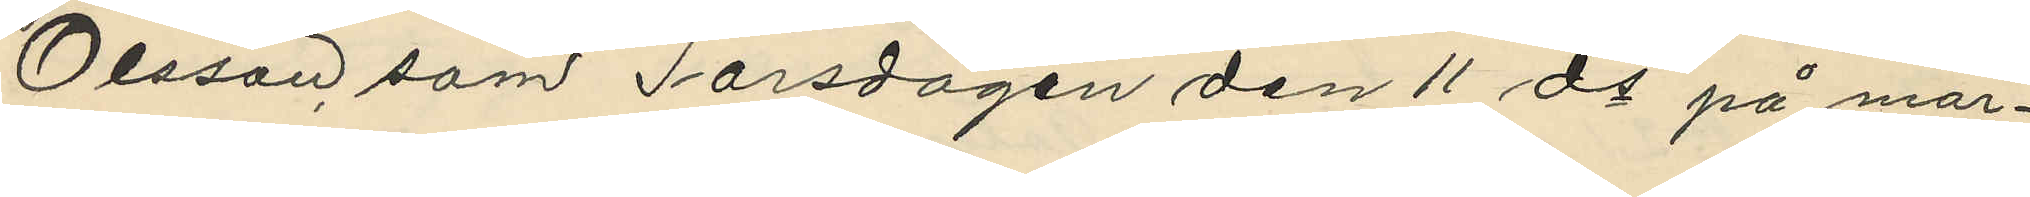Olsson som Torsdagen den 11 ds på mor¬
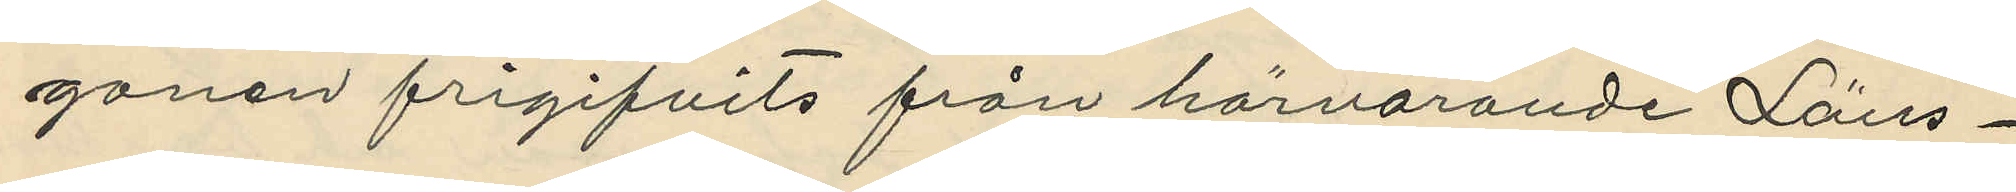gonen frigifvits från härvarande Läns¬
